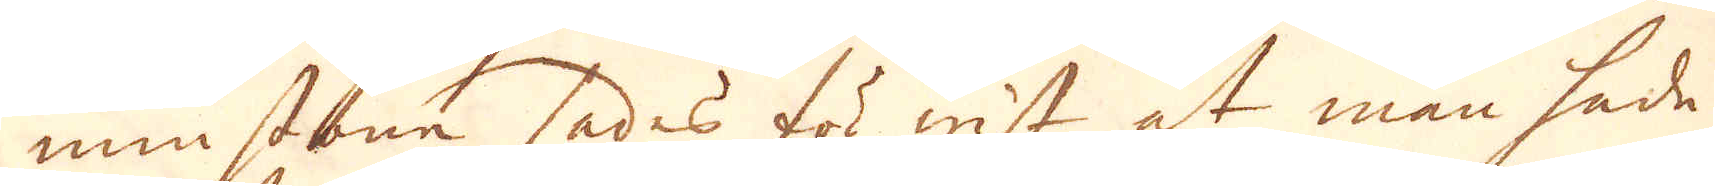minstone sades för wist at man hade
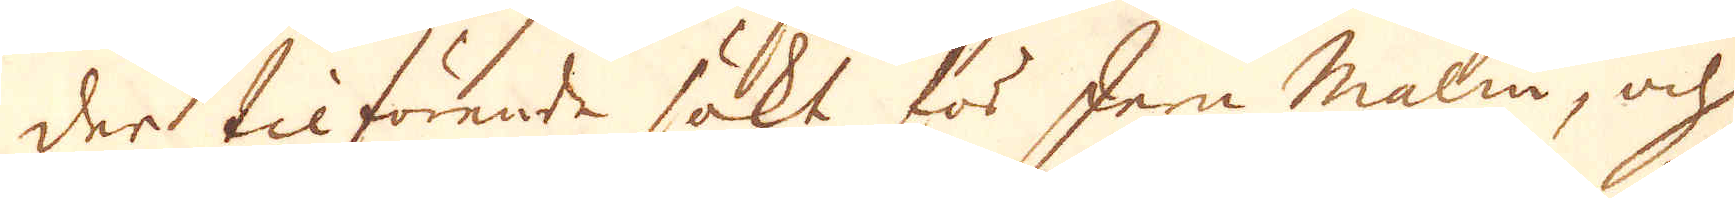der tilförende sökt för Jern malm, och
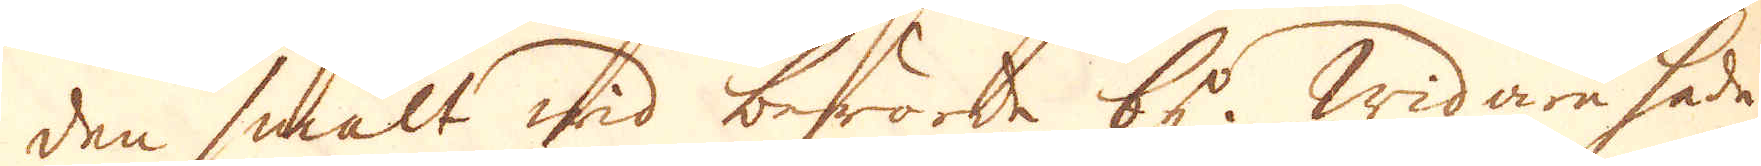den smält wid berörde by. Widare hade
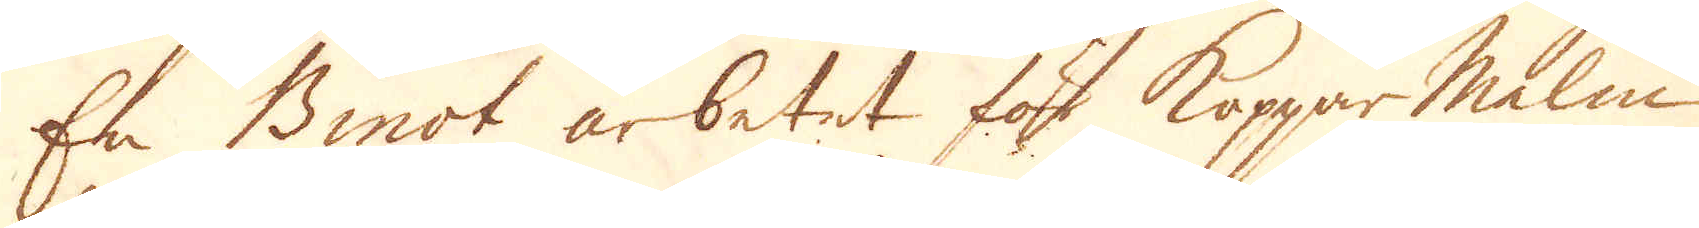En Binot arbetat för Kopparmalm
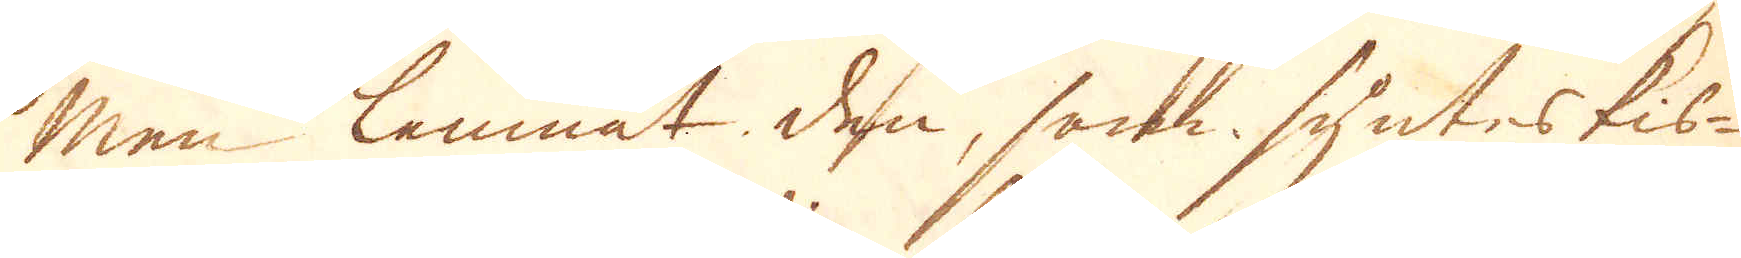men lemnat den, som syntes kis-
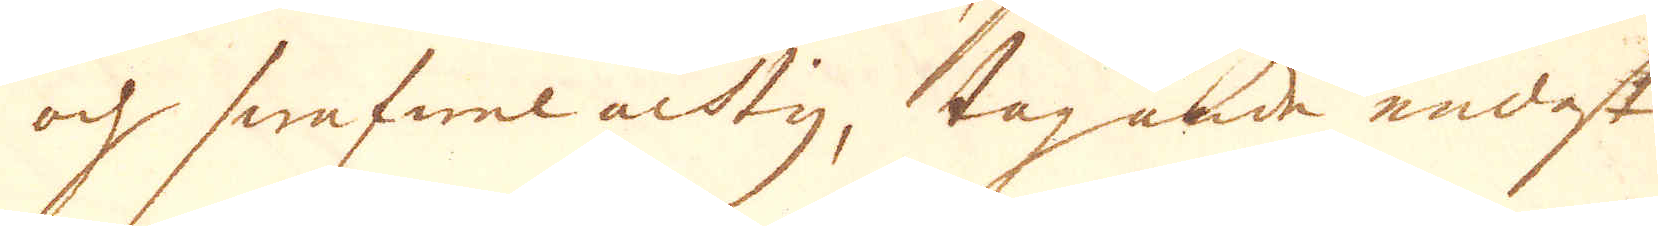och swafwel achtig, tagande endast
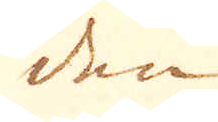den
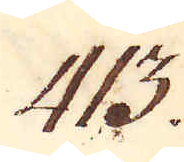413.
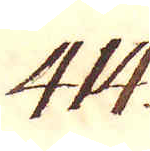414.
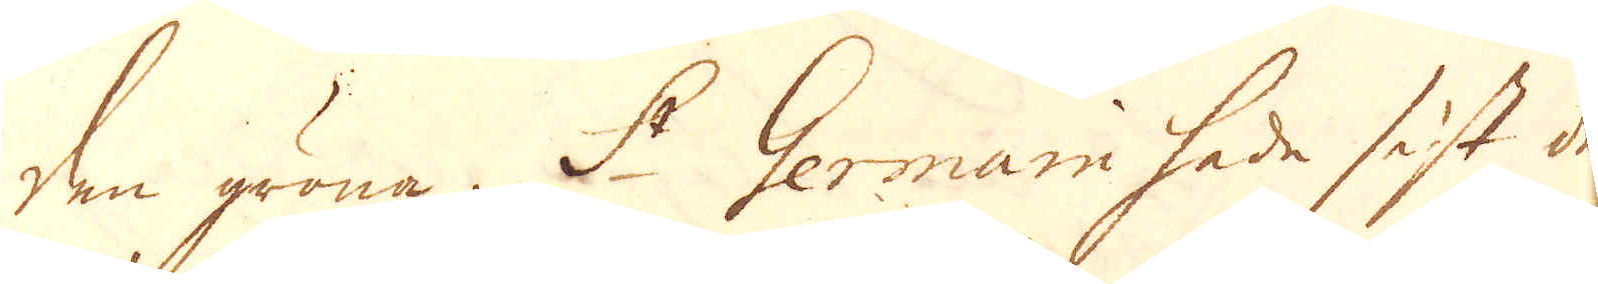den gröna. St Germain hade sist der
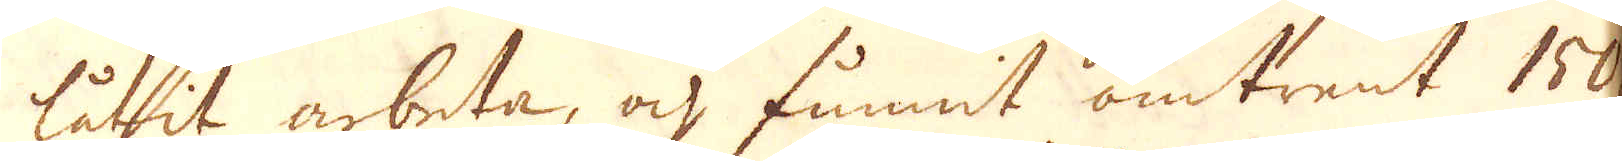låtit arbeta, och funnit omtrent 150 a
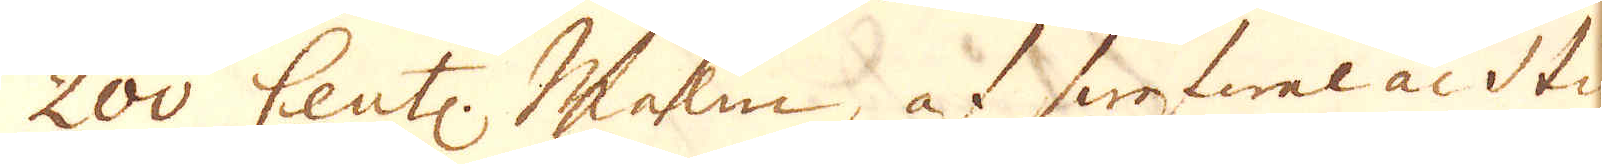200 Cent: malm, af swafwel achtig
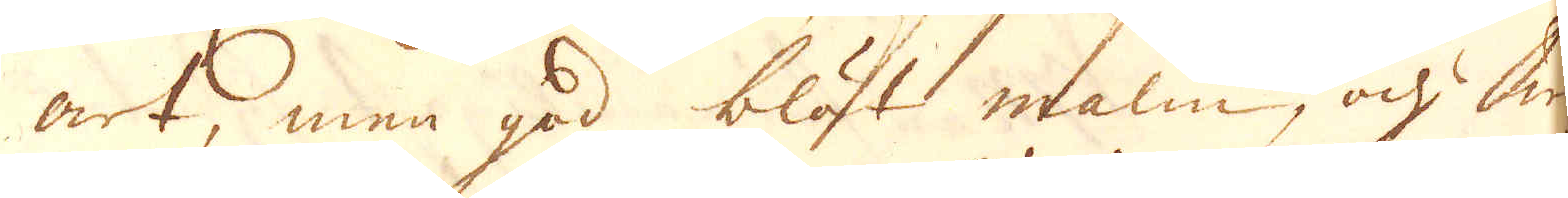art, men god blöt malm, och wid
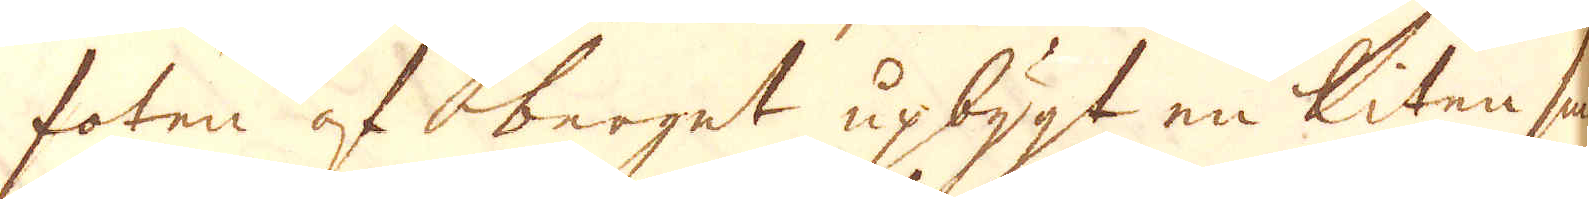foten af berget upbygt en liten smält
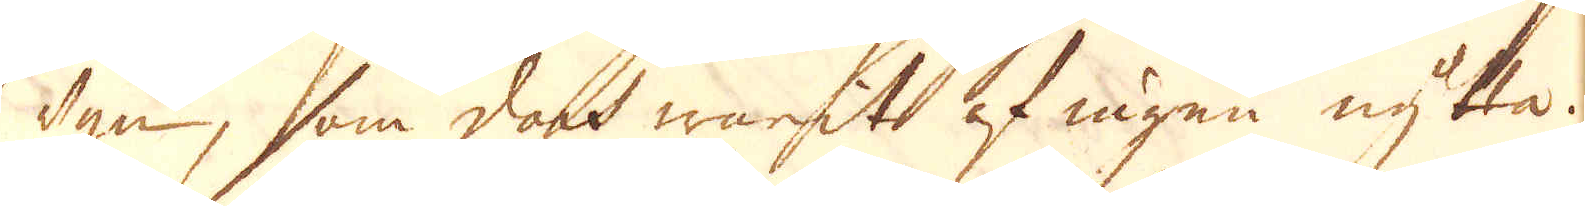ugn, som doch warit af ingen nytta.
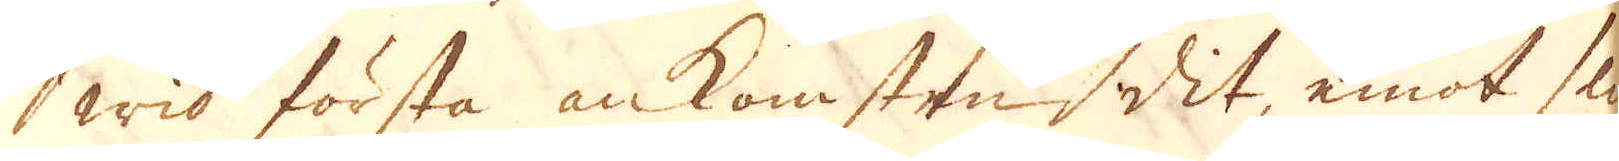Wid första ankomsten dit, emot slutet
